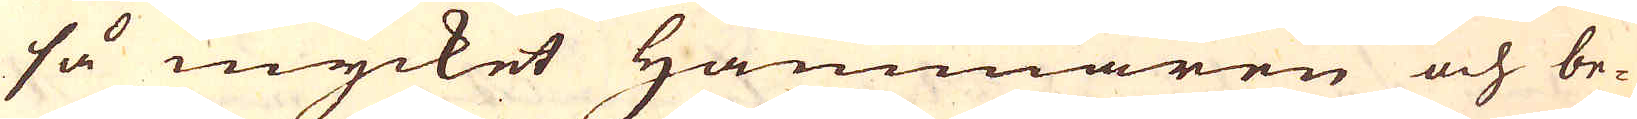så mycket Hammaren och be-
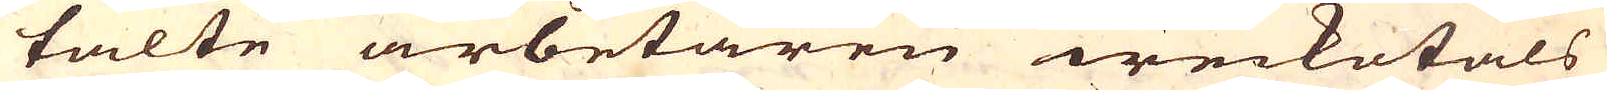talte arbetaren weckotals
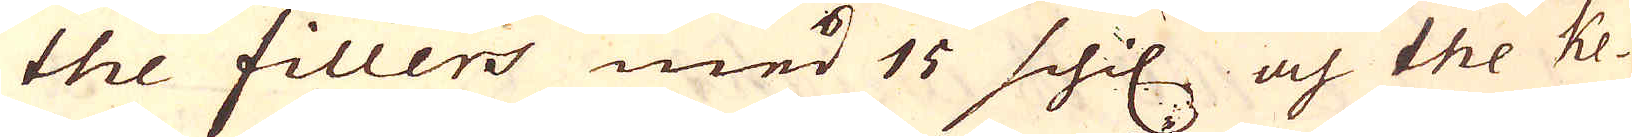the fillers med 15 schil och the ke-
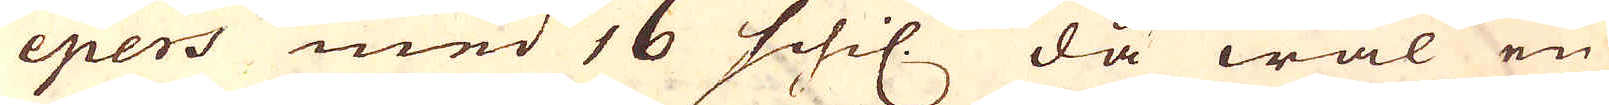epers med 16 schil. då wäl en
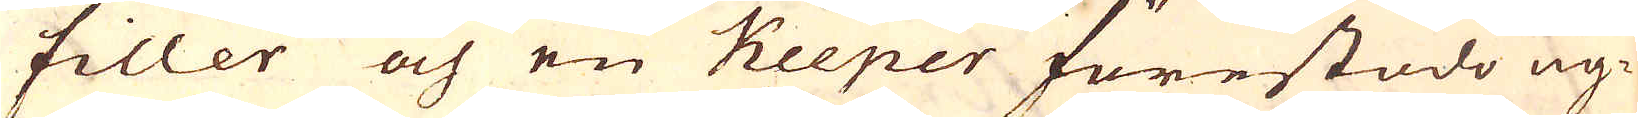filler och en Keeper förestodo ug-
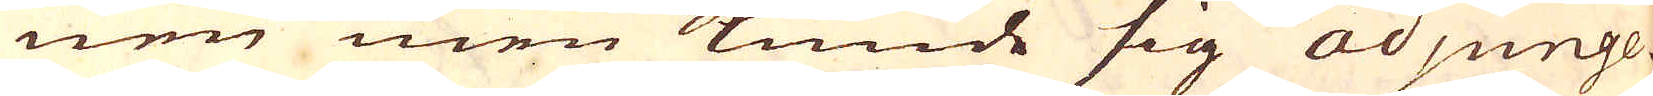nen men kunde sig adjunge-
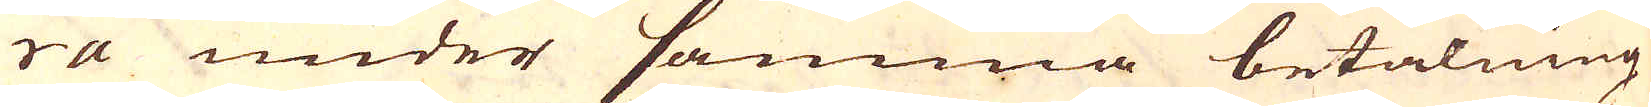ra under samma betalning
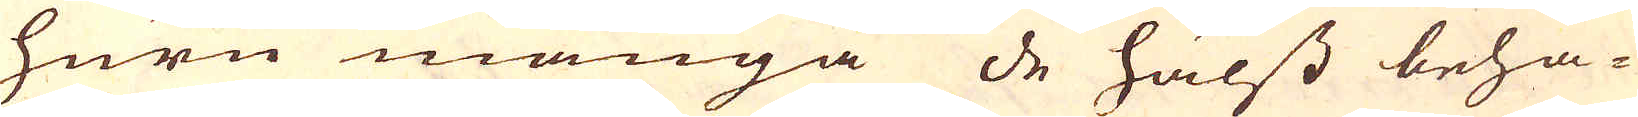huru många de hälst beha-
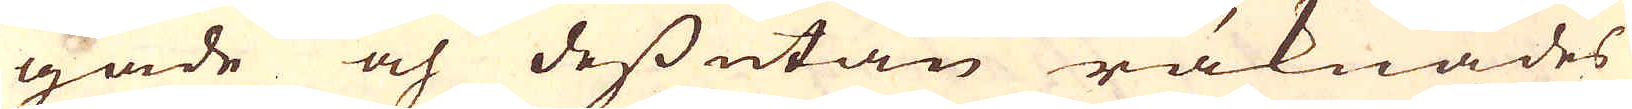gade och dess utan räknades
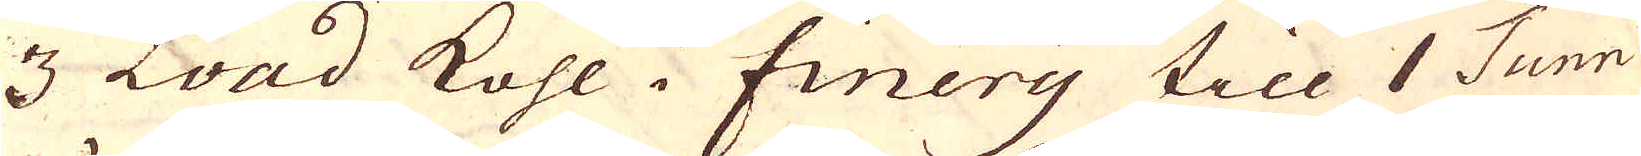3 Load kohl. Finery till 1 Tunn
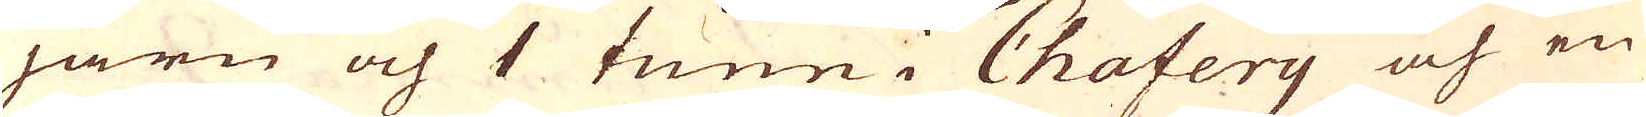järn och 1 tunn i Chafery och en
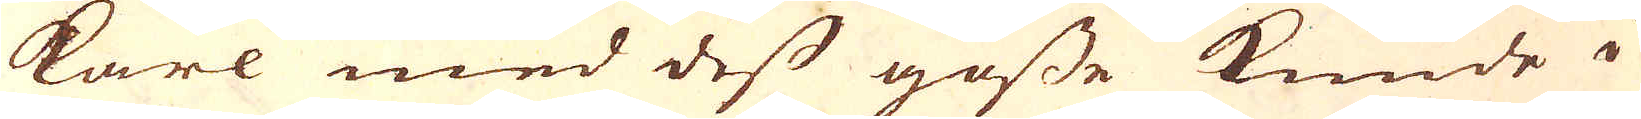karl med dess gosse kunde i
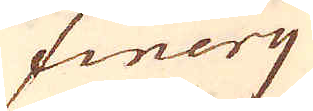finery
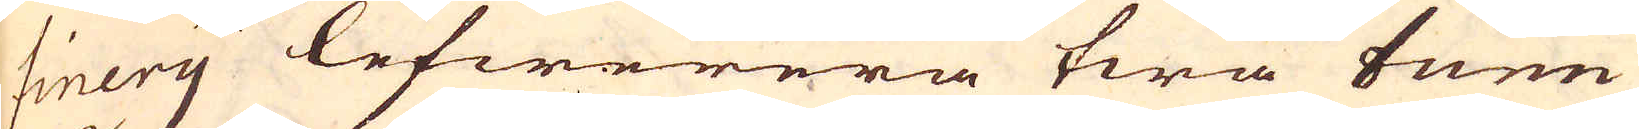finery lefwerera twå tunn
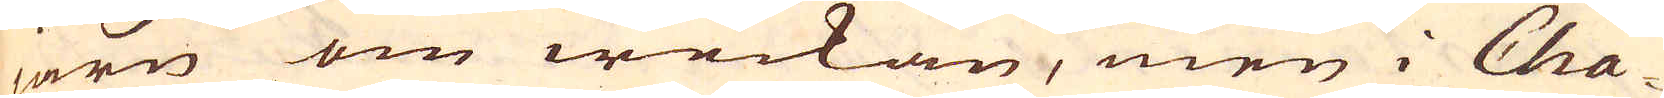järn om weckan, men i Cha-
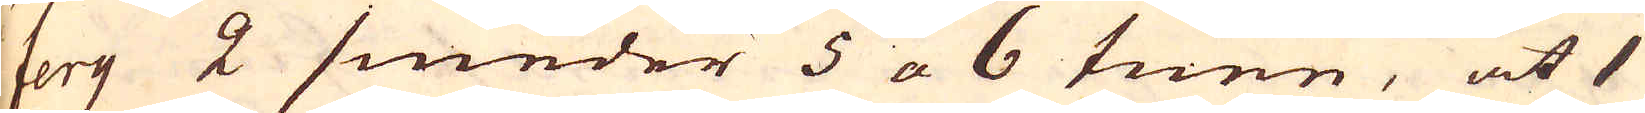fery 2 smeder 5 a 6 tunn, at 1
